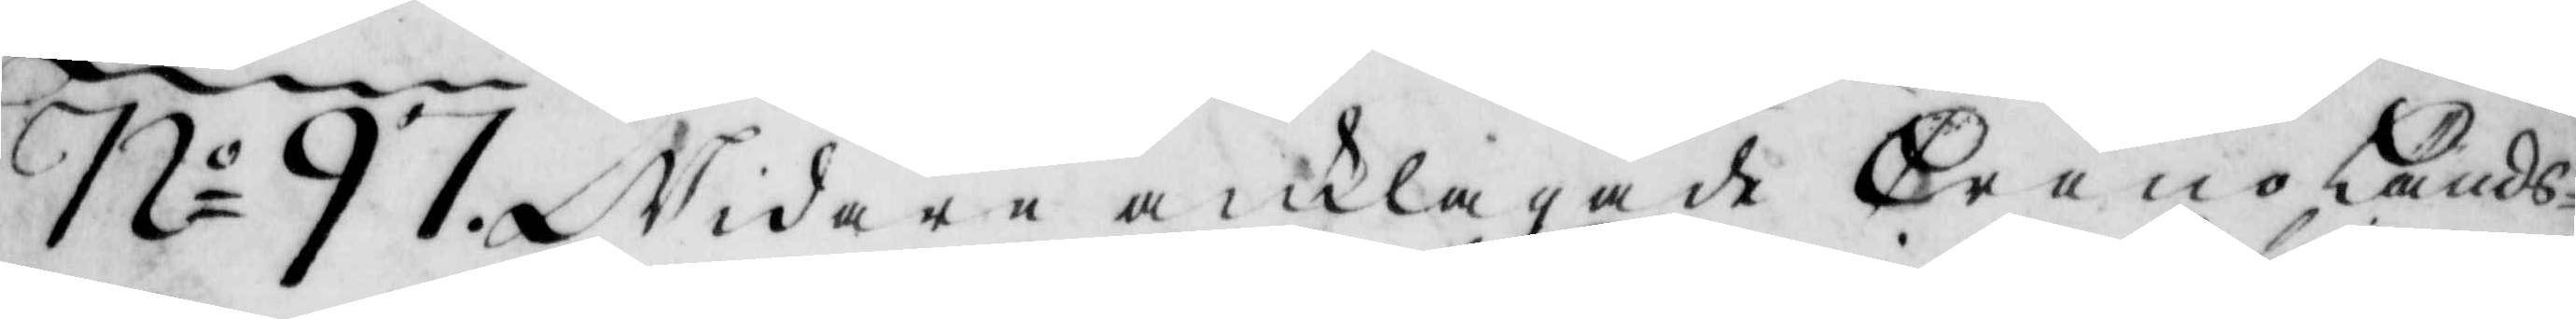No 97. Widare anklagade CronoLänds¬
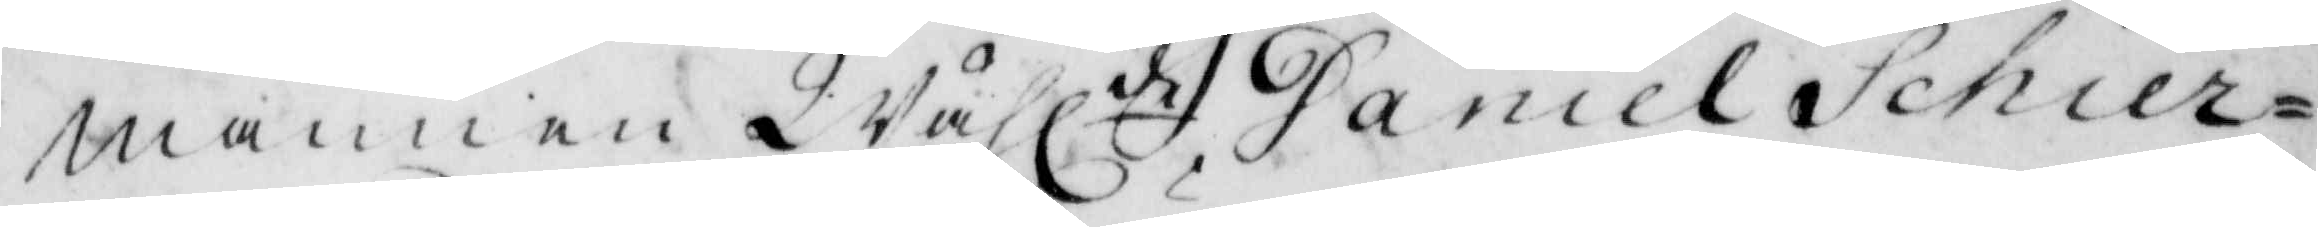mannen Wählde Daniel Schier¬
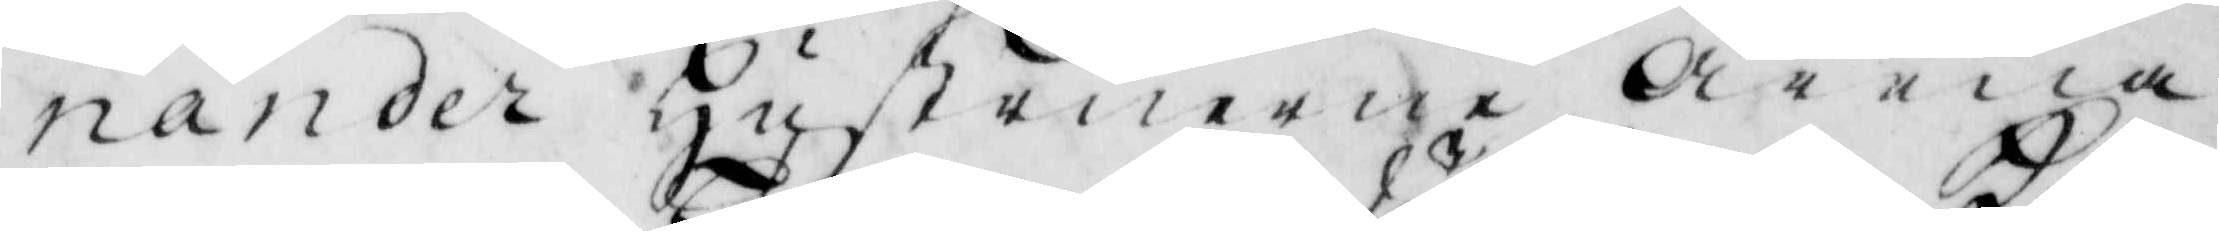nander Hustruerne Anna
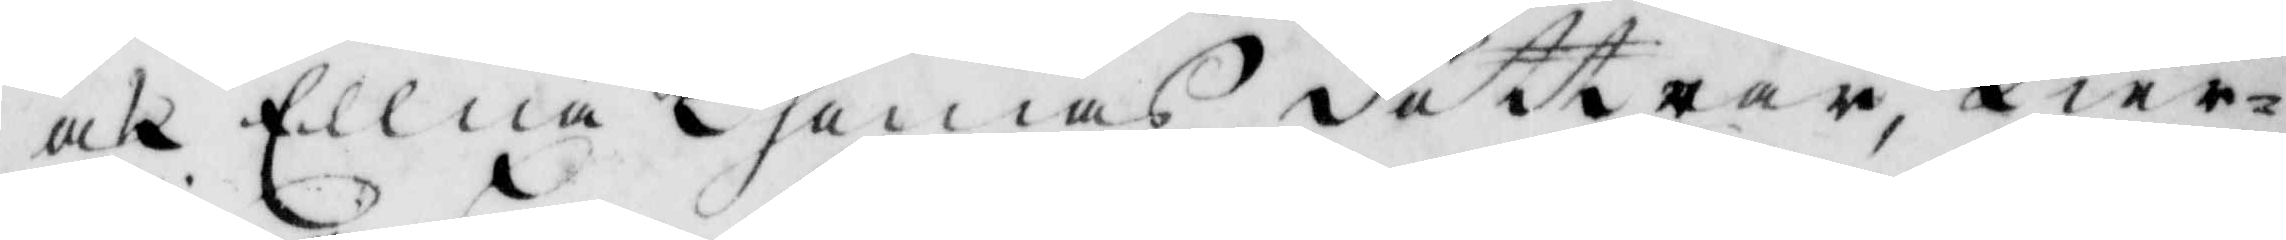och Ellna Thomas döttrar, Kier¬
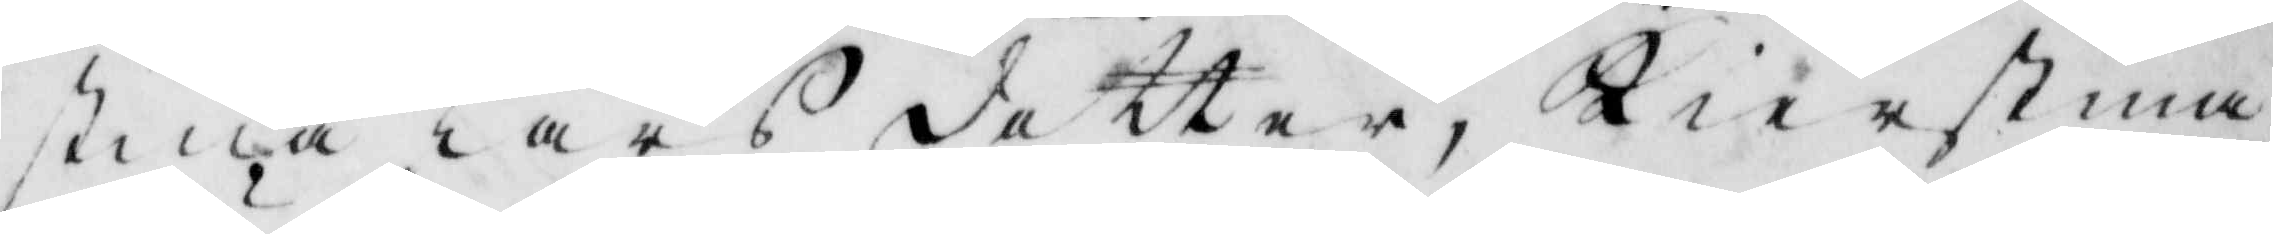stina Lars dotter, Kierstina
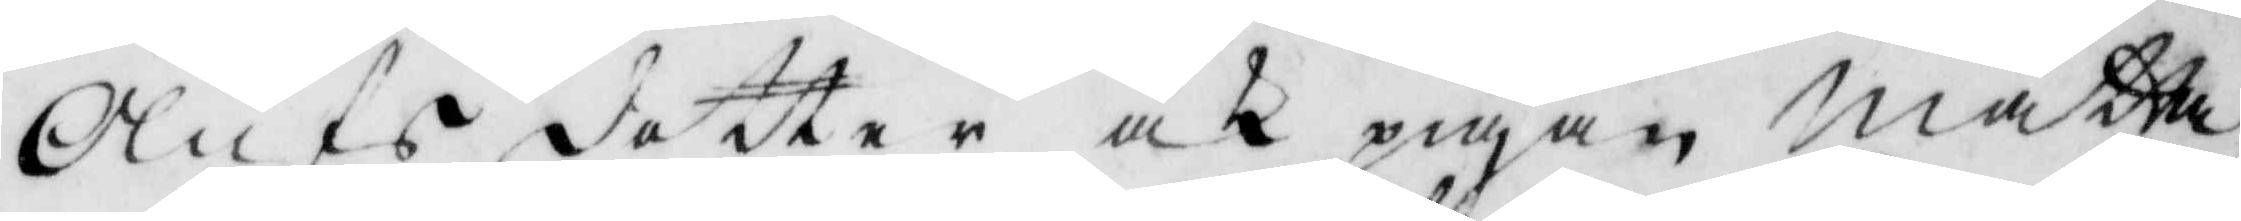Olufs dotter och pigan Mätta
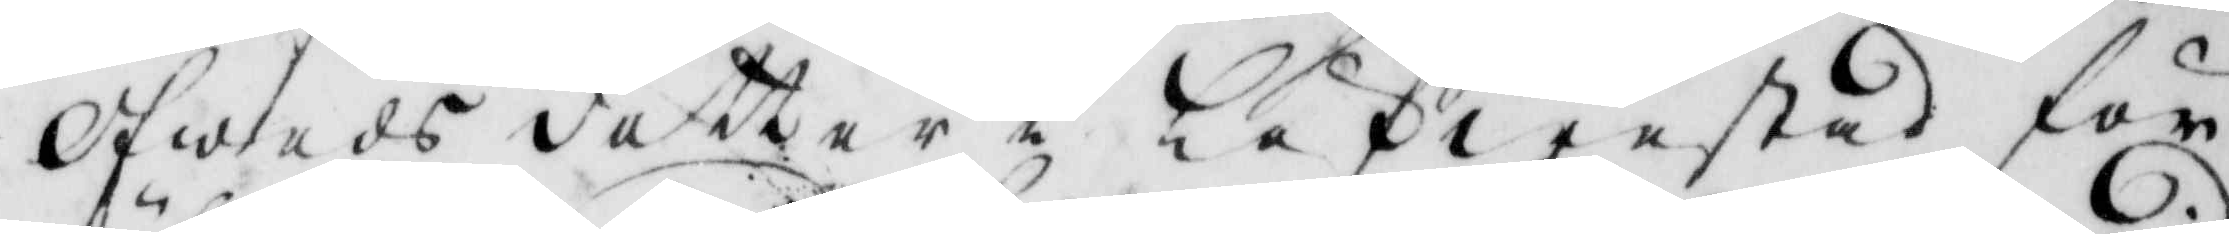Ofweds dotter i Löfwestad för
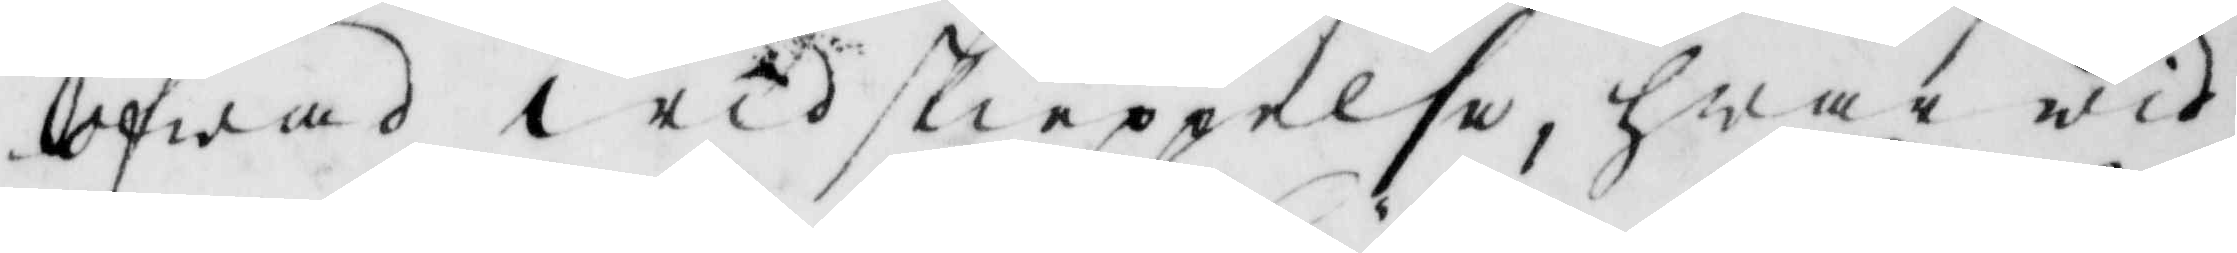öfwad widskieppelse, hwar wid
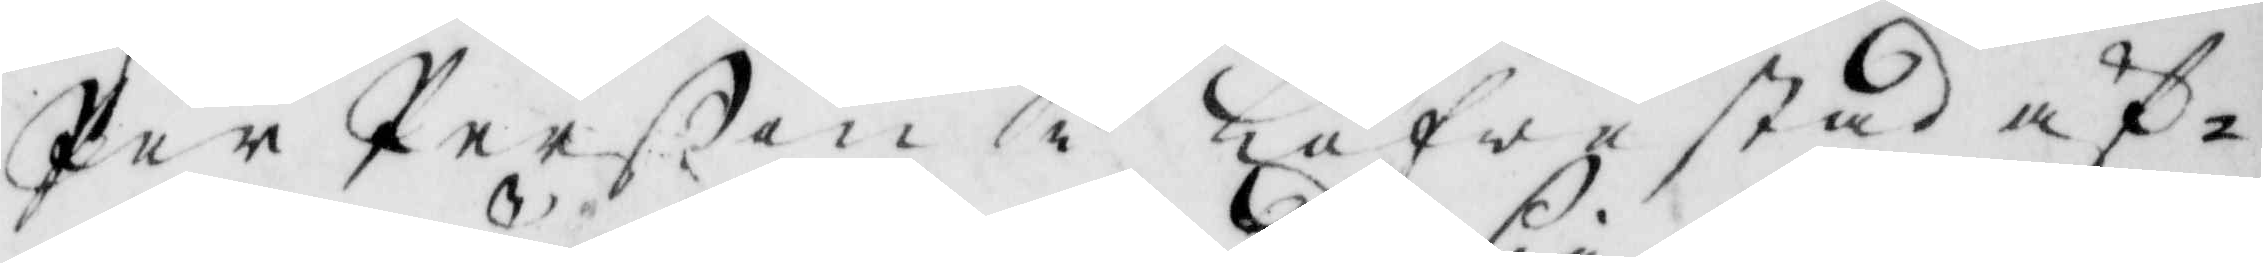Per Perßon i Löfwestad äf¬
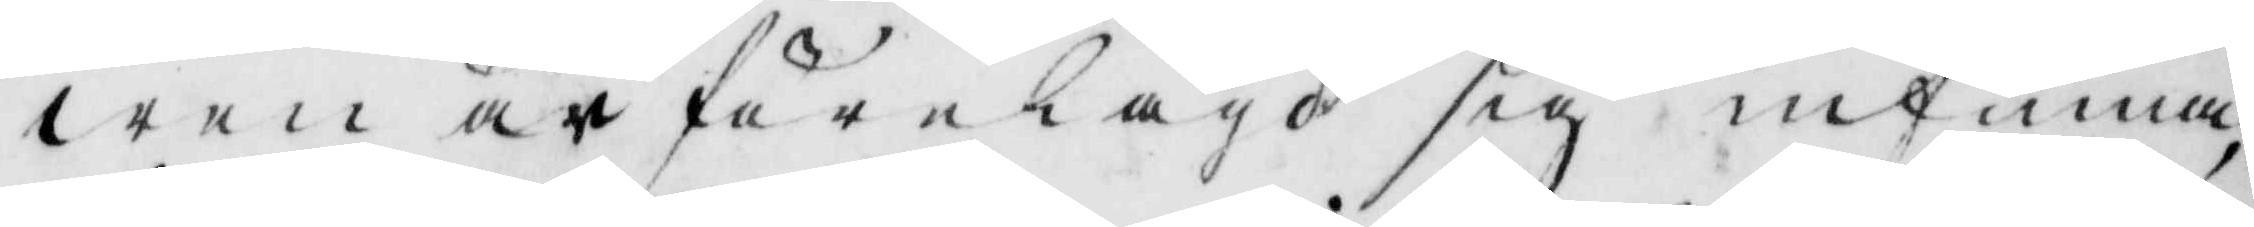wen är förelagd sig infinna,
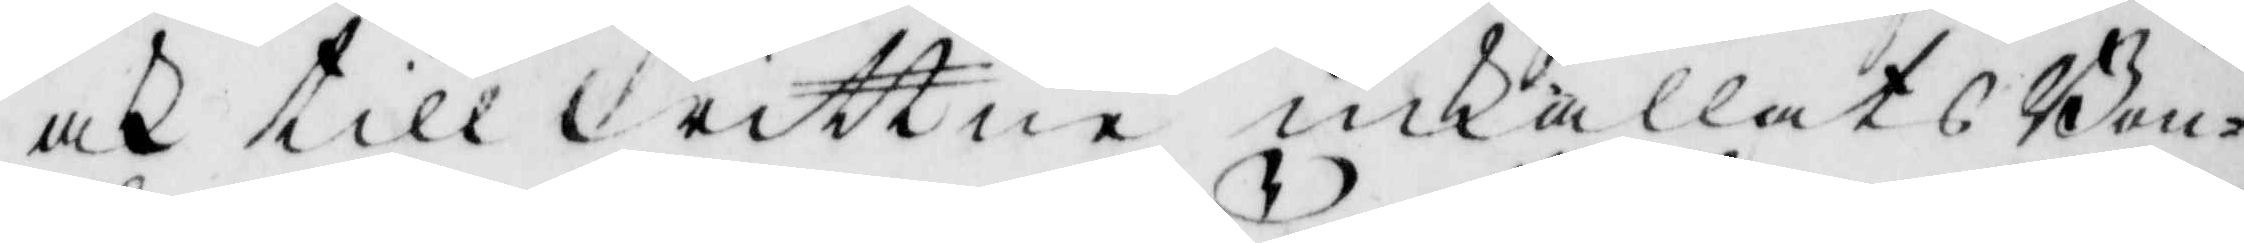och till wittneinkallats Bon¬
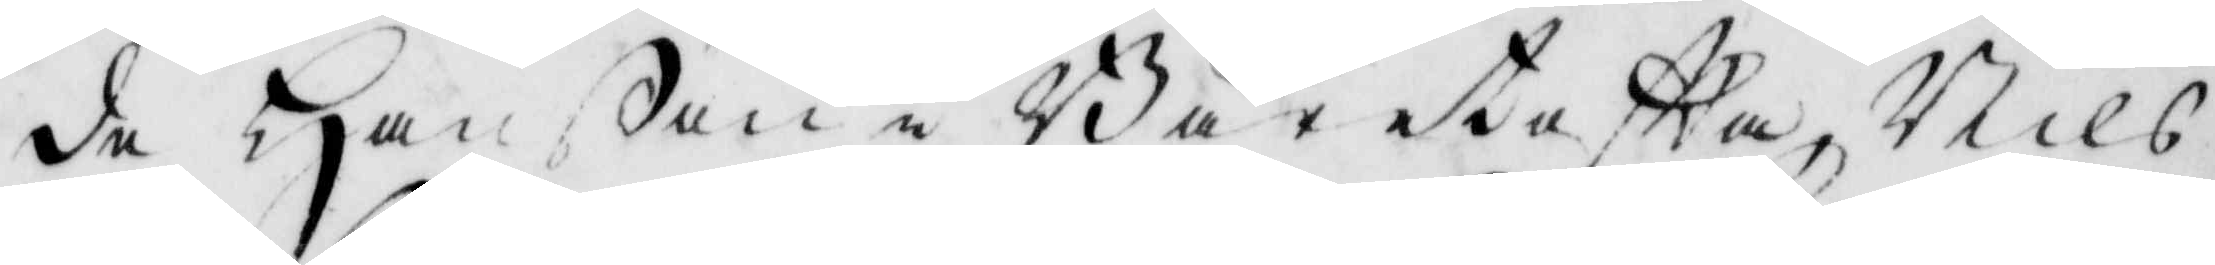de Hanßon i Gäresteftta, Nils
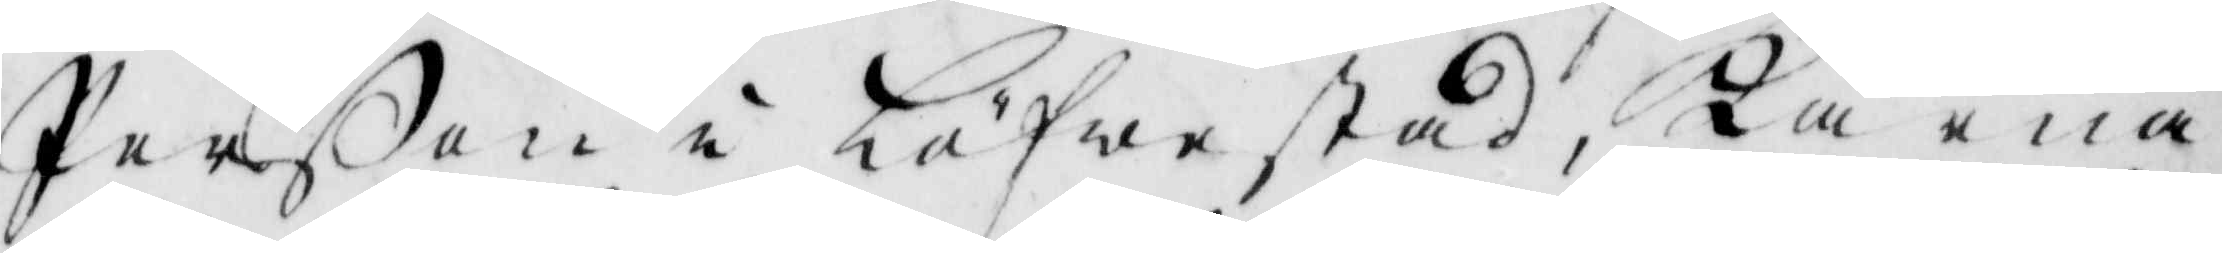Perßon i Löfwestad, Karna
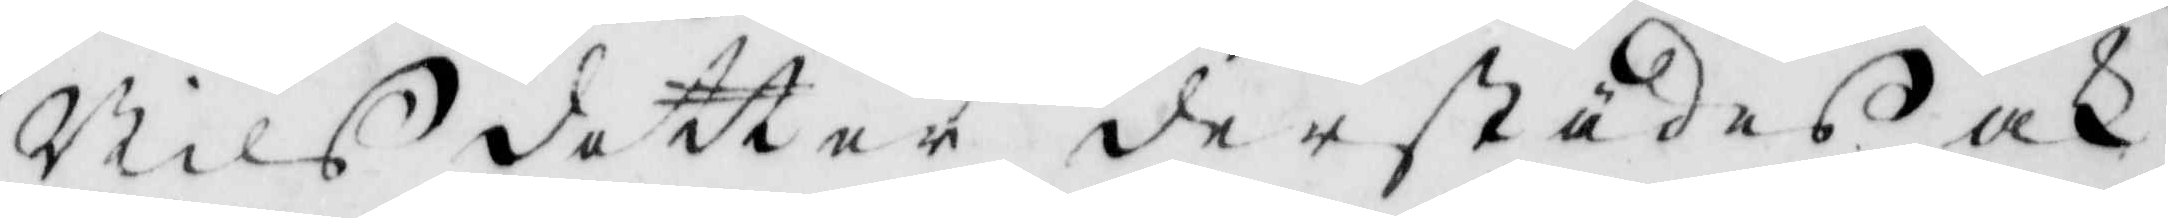Nils dotter derstädes och
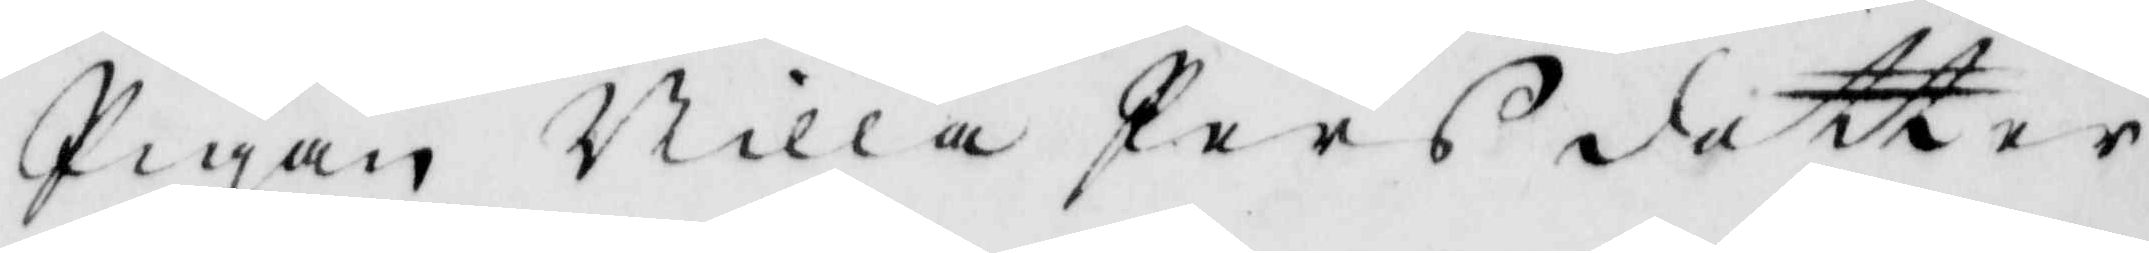Pigan Nilla Pers dotter
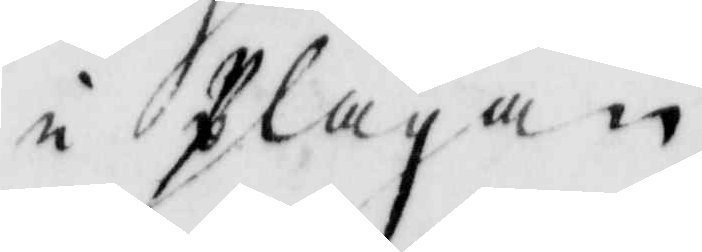i Plågan.
